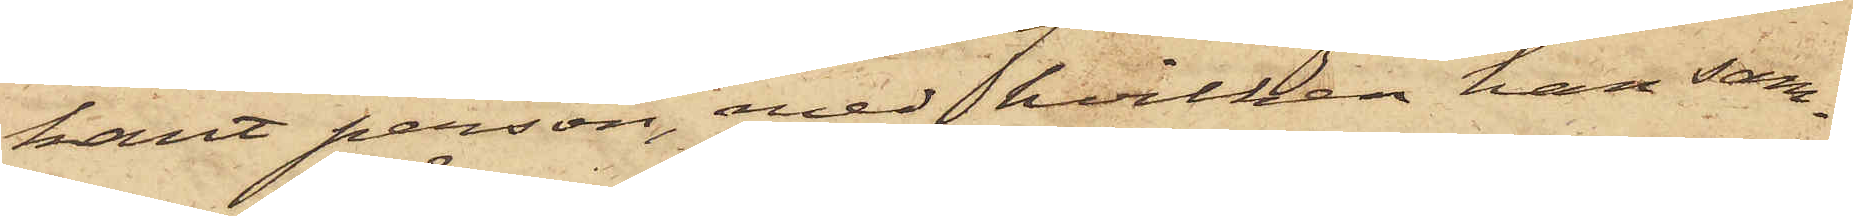kant person, med hvilken han sam¬
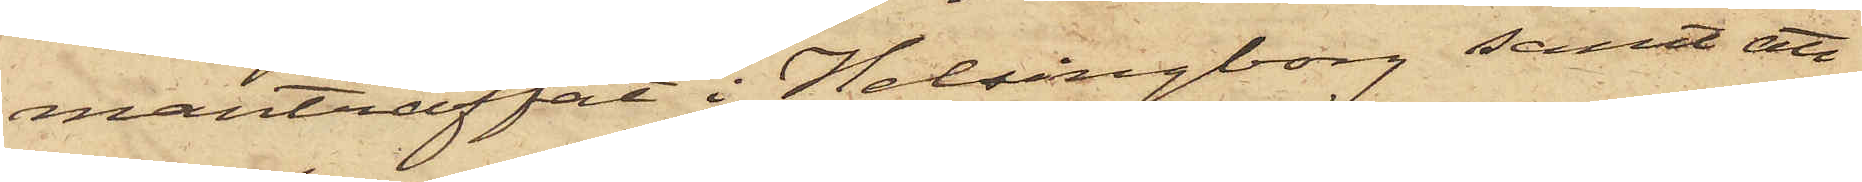manträffat i Helsingborg samt att
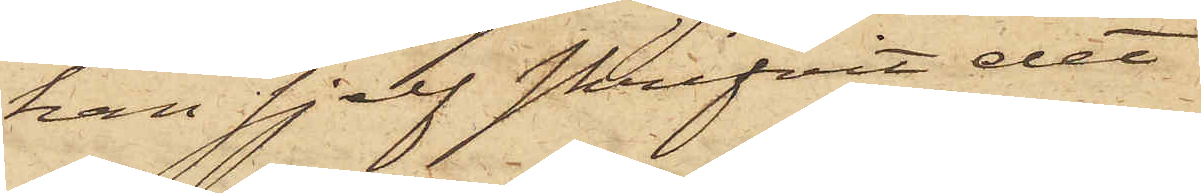han sjelf skrifvit det
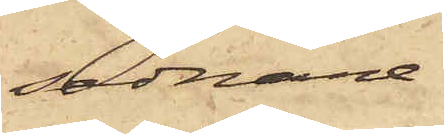sednare.
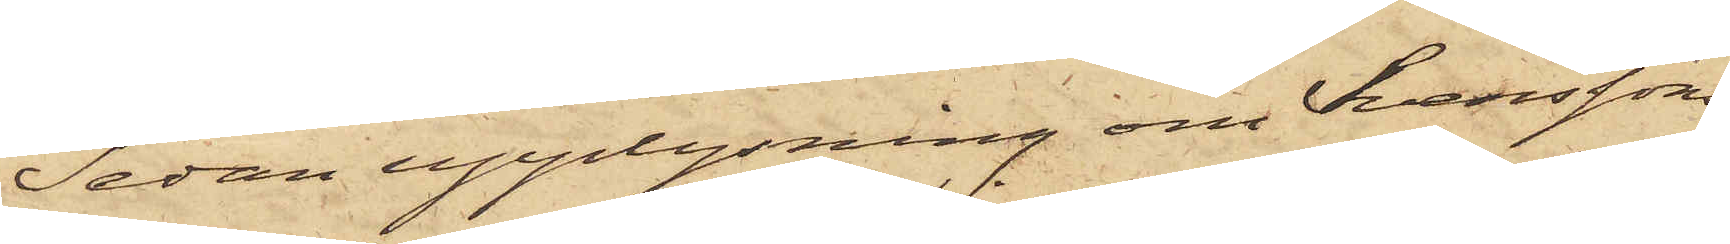Sedan upplysning om Svenssons
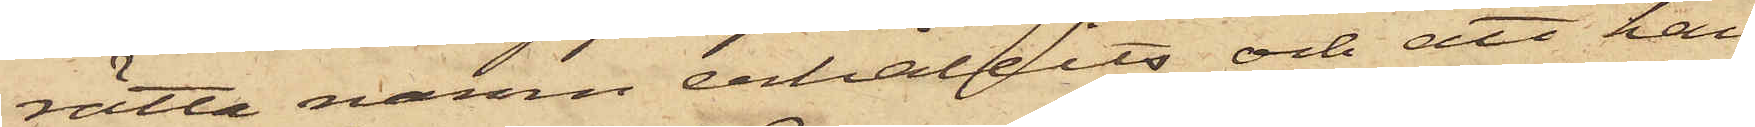rätta namn erhållits och att han
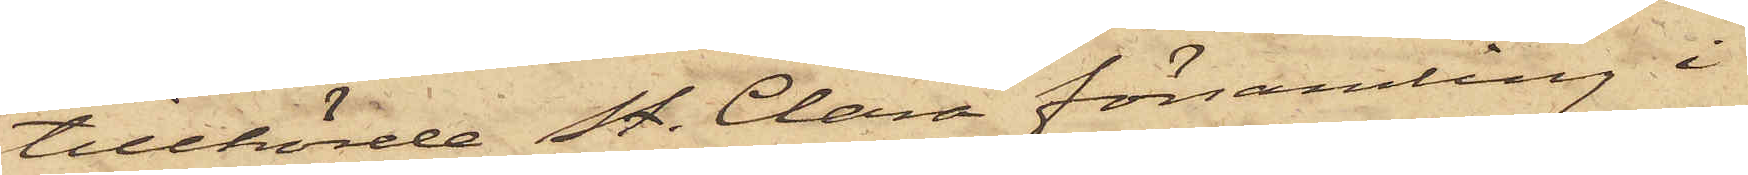tillhörde St. Clara församling i
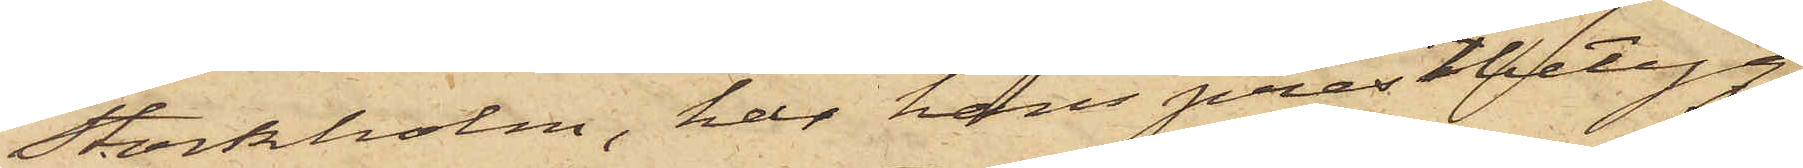Stockholm, har hans prestbetyg
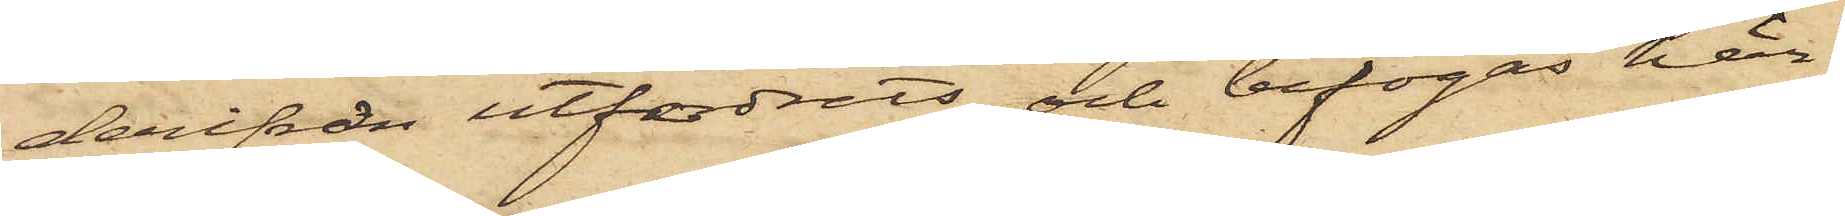derifrån utfordrats och bifogas här.
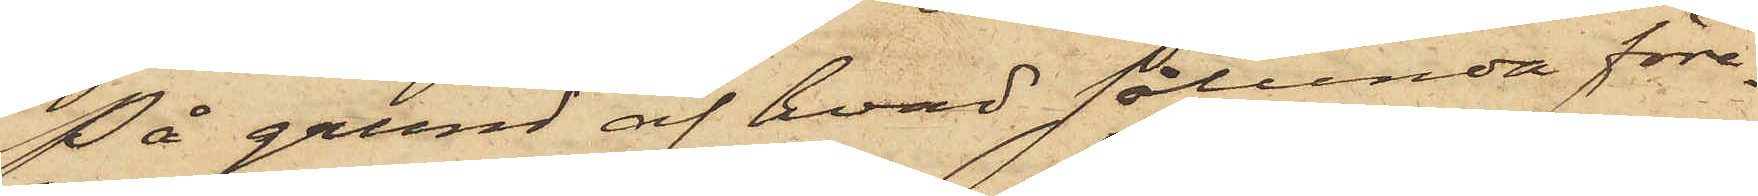På grund af hvad sålunda före¬
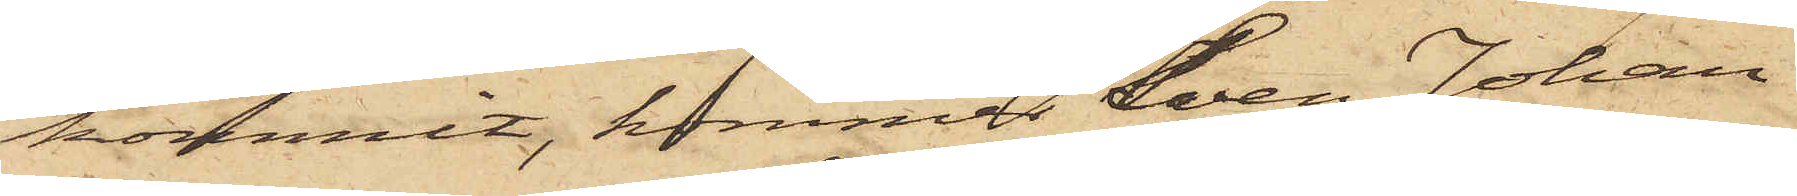kommit, kommer Sven Johan
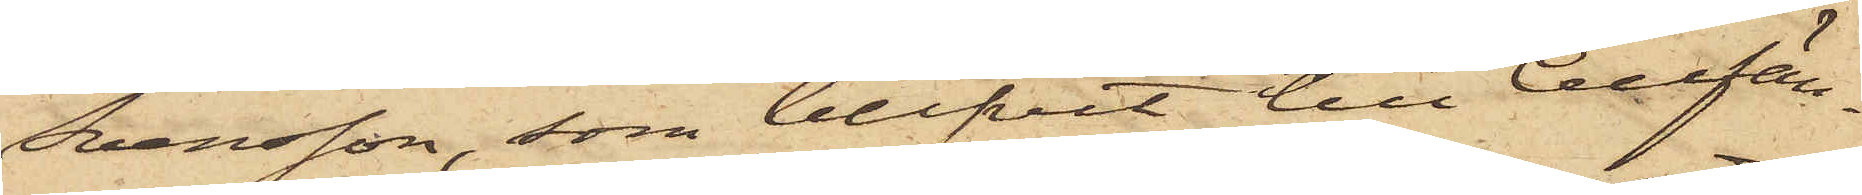Svensson, som blifvit till Cellfän¬
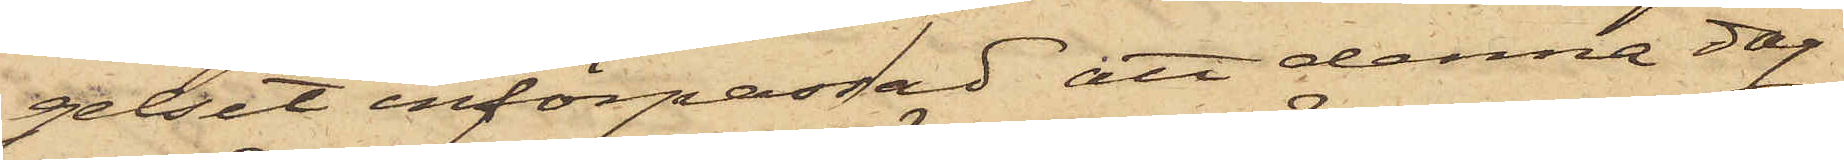gelset införpassad, att denna dag
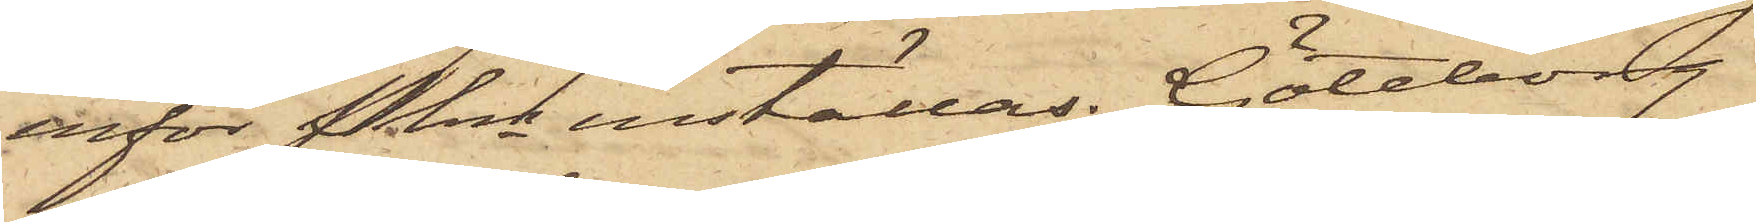inför Pkn inställas. Göteborg
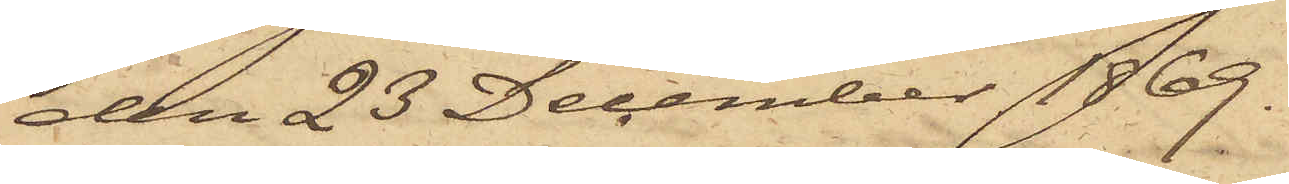den 23 December 1869.
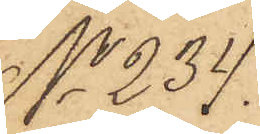No 234.
